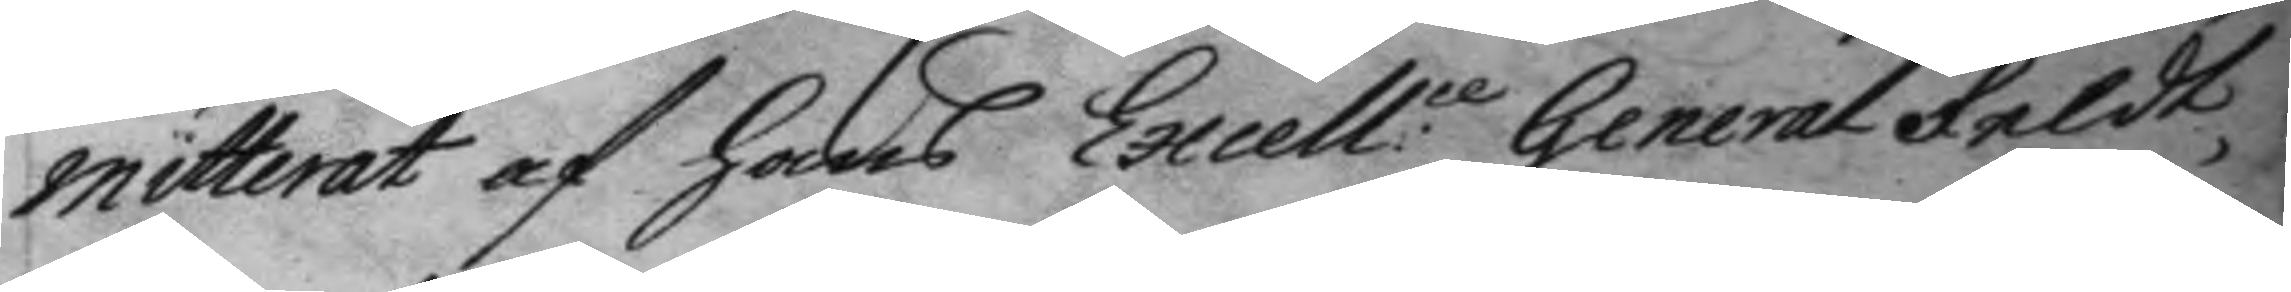mitterat af hans Excell:ce General Feldt
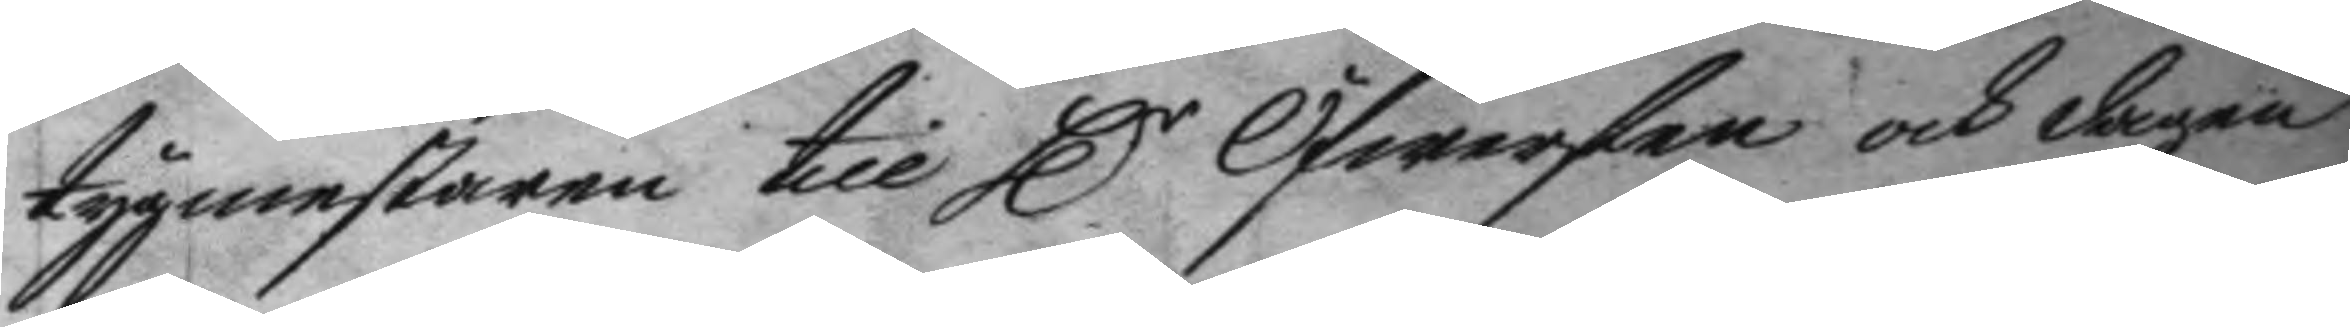tygmestaren till H.r Öfwersten och dagen
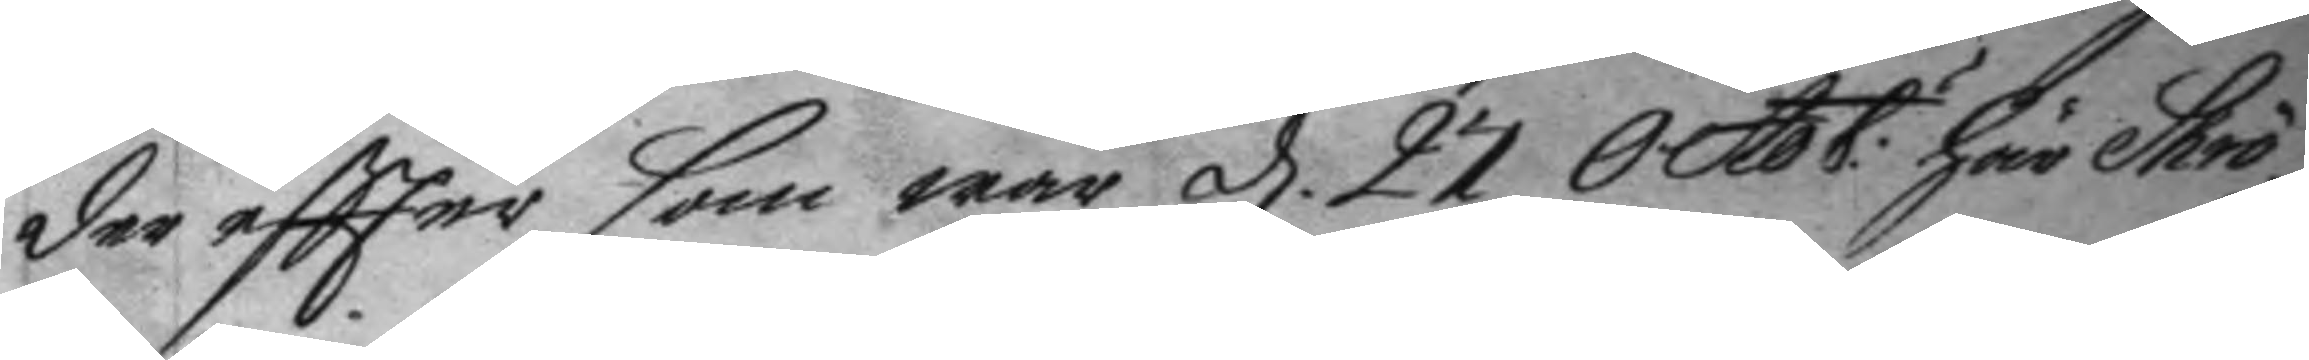der eftter som war d. 27 Octob:r här Shrö¬
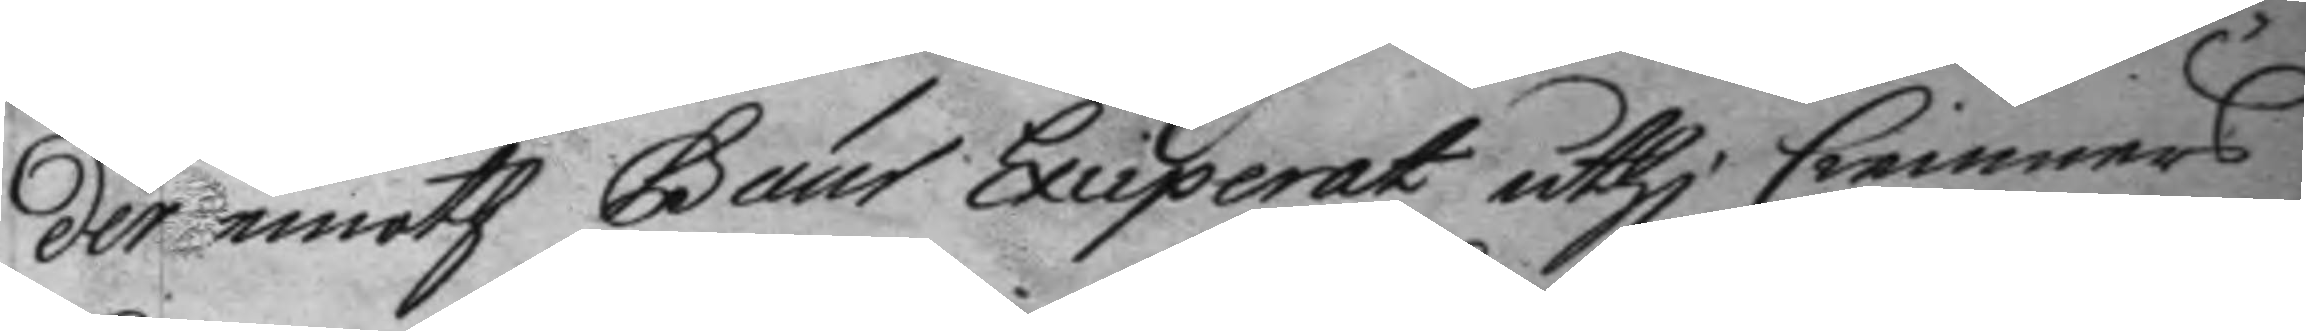der emoth Gaur Exciperat uthi Cemmners¬
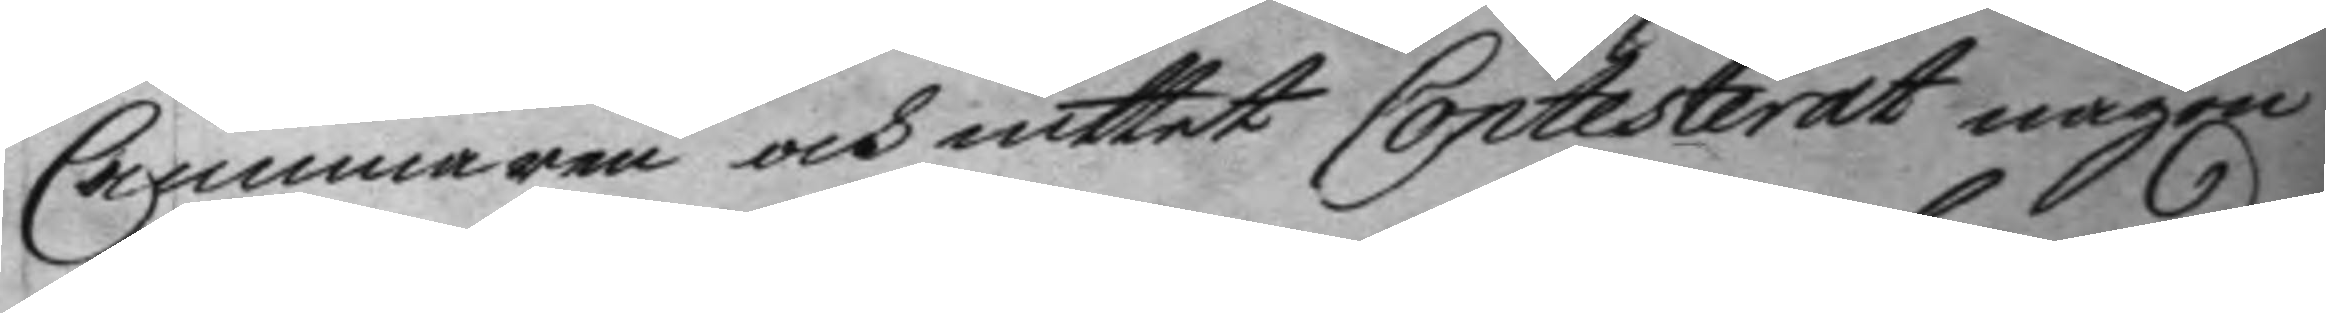Cammaren och intet Contesterat någon
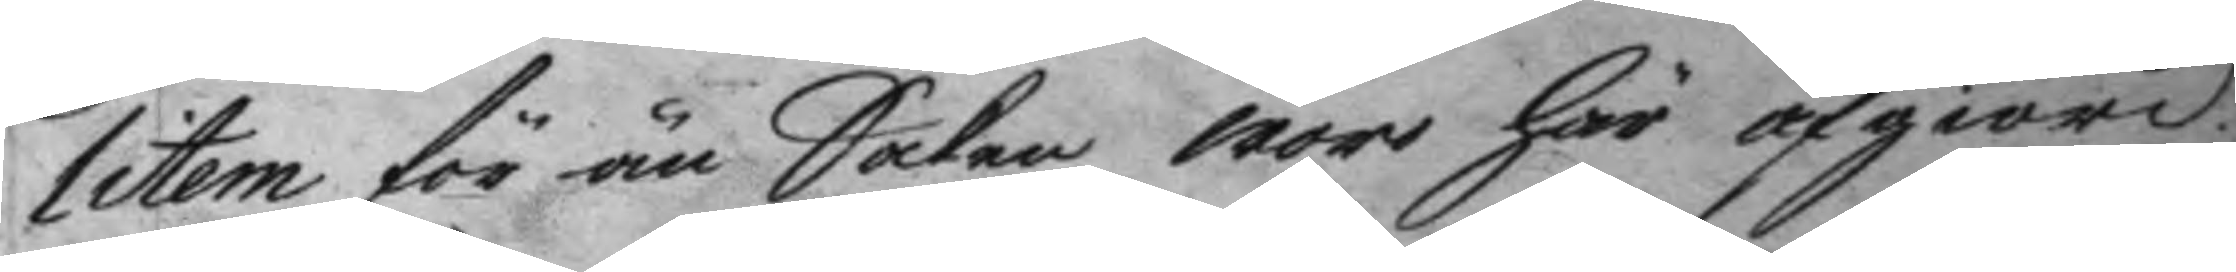litem för än Saken war här afgiord.
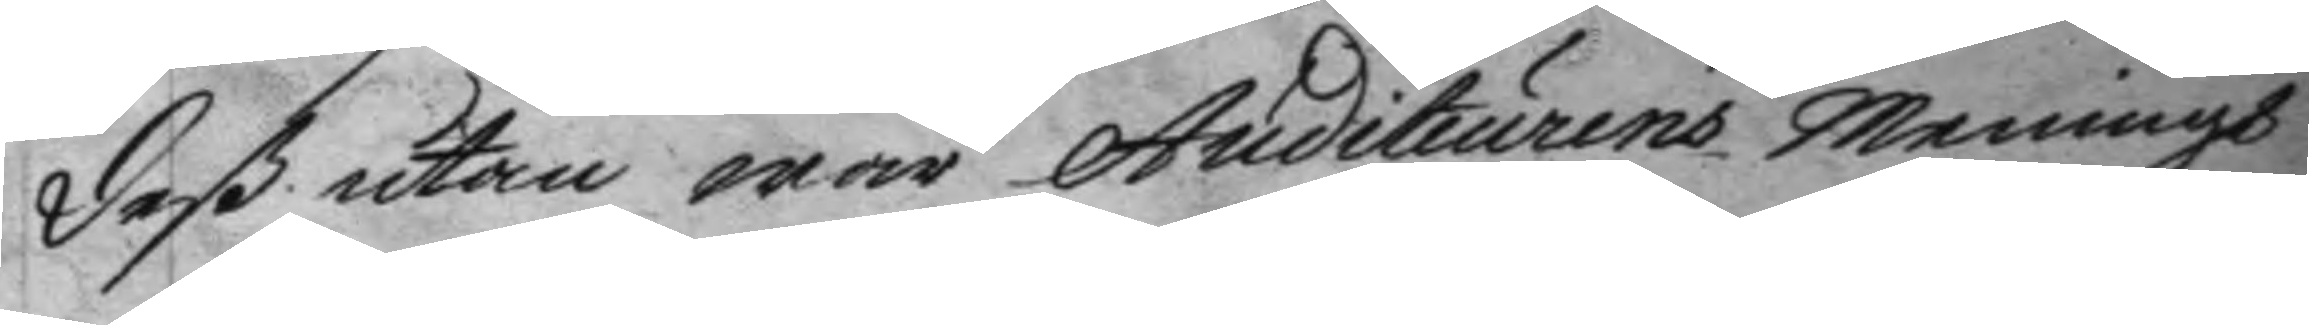de utan war Auditiurens meningh
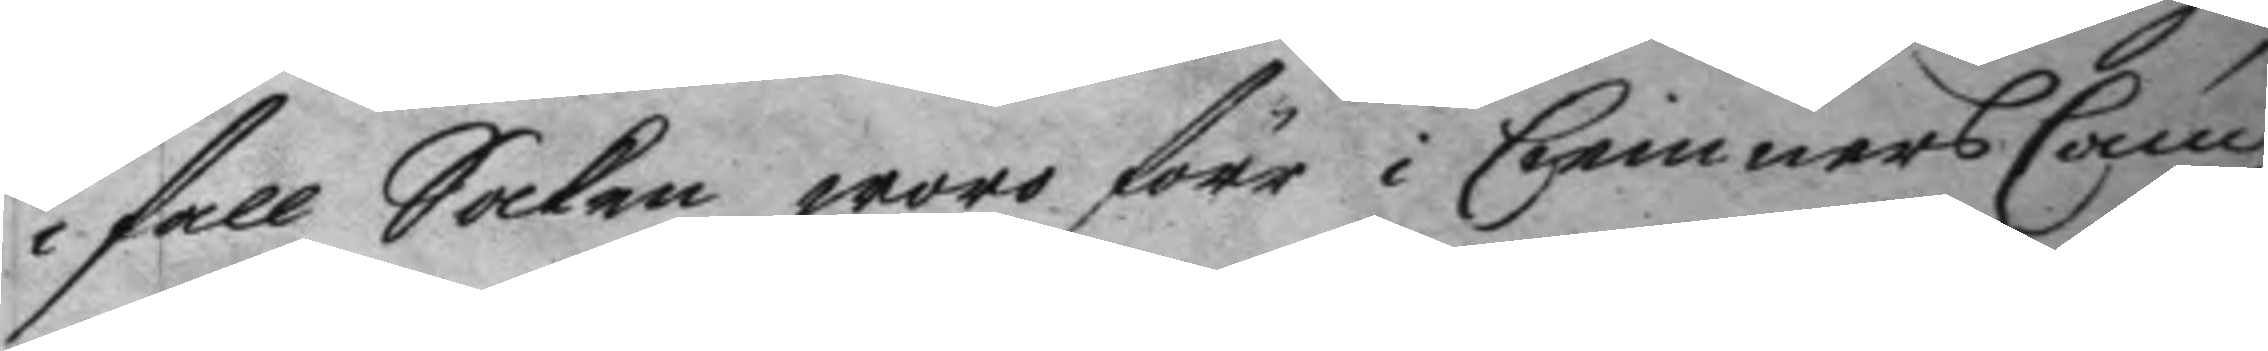i fall Saken woro förr i Cemners Cam¬
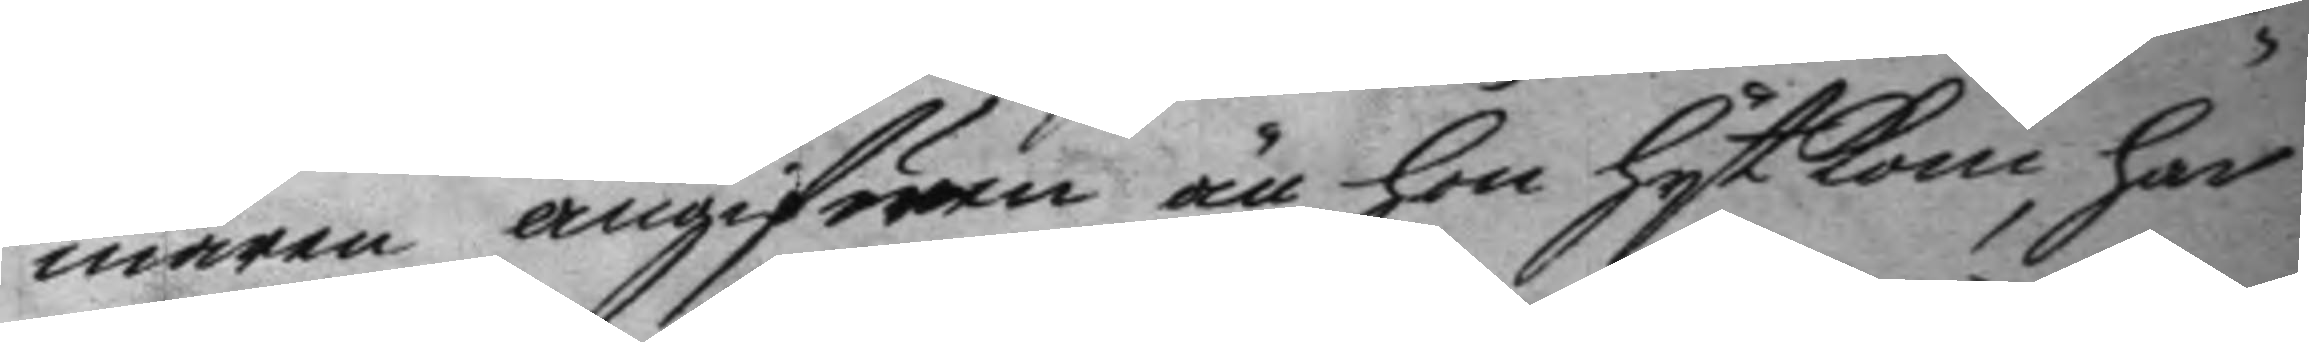maren angifwen än hon hyt kom, har
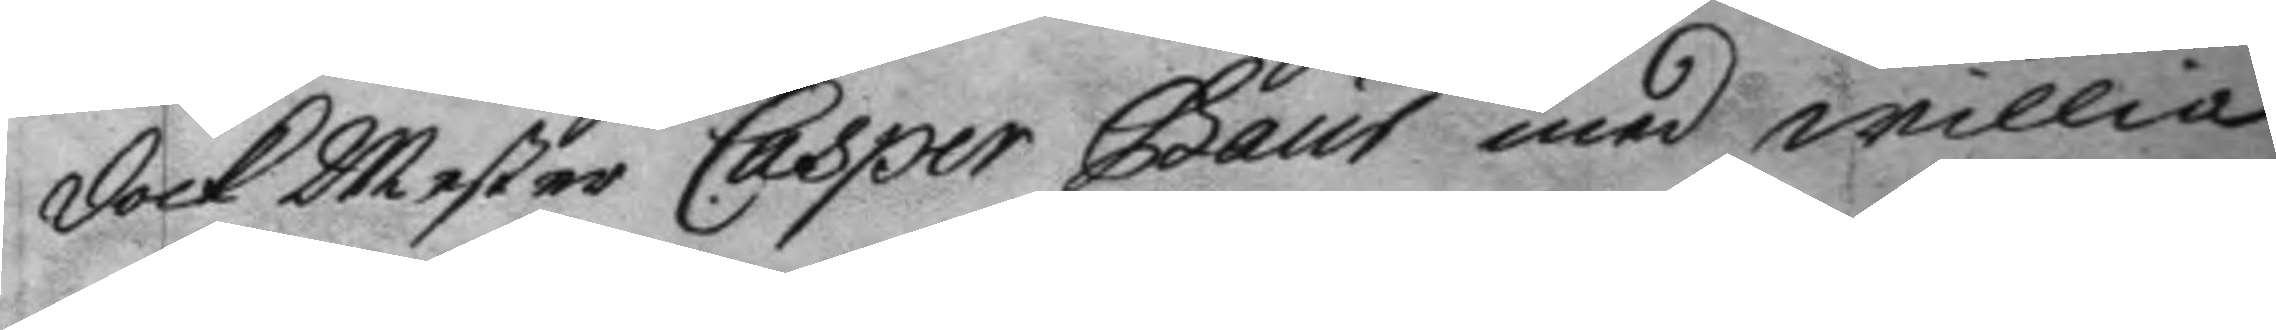dock Mester Casper Gaur med willia
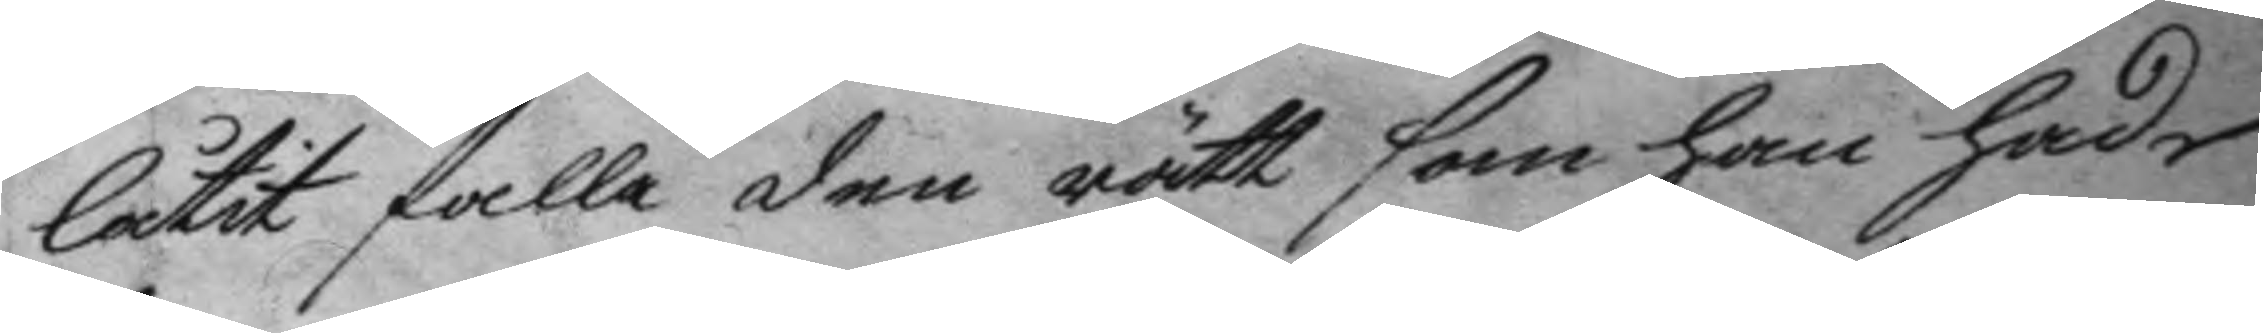låtir falla den rätt som han hade
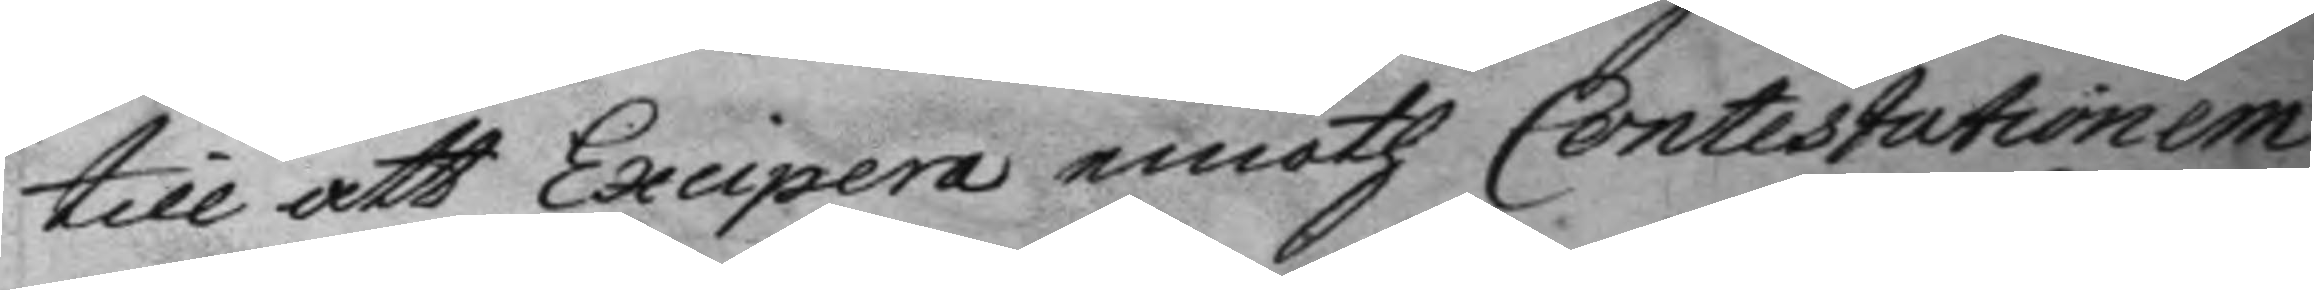till at Excipera emoth Contestationem
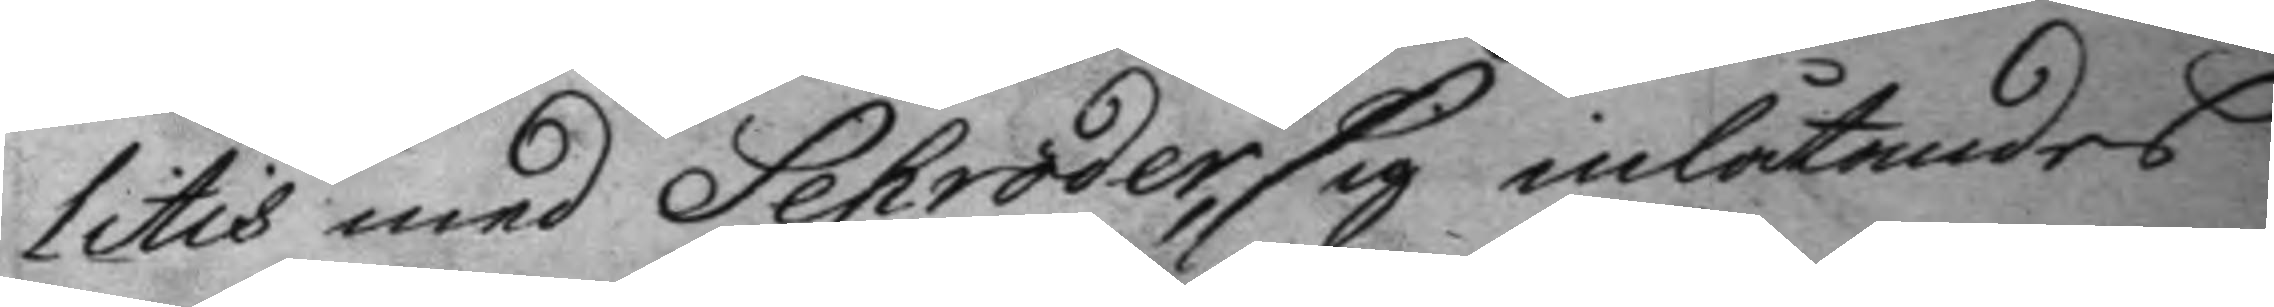Litis med Schröder, sig inlåtandes
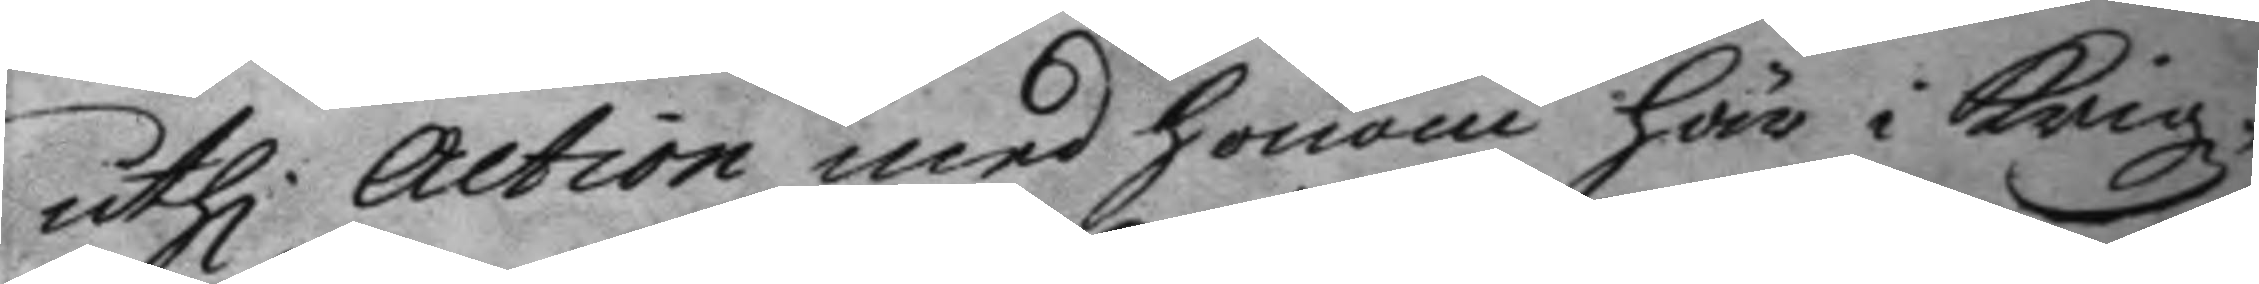uthi action med honom här i Krigz¬
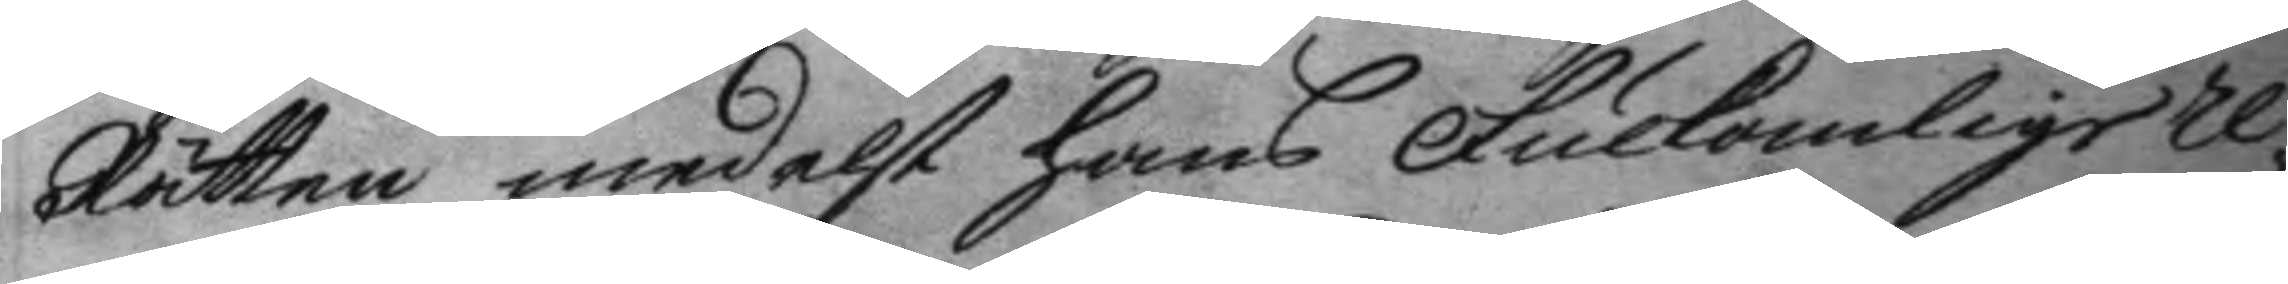Rätten medelst hans Fulkomlige re¬
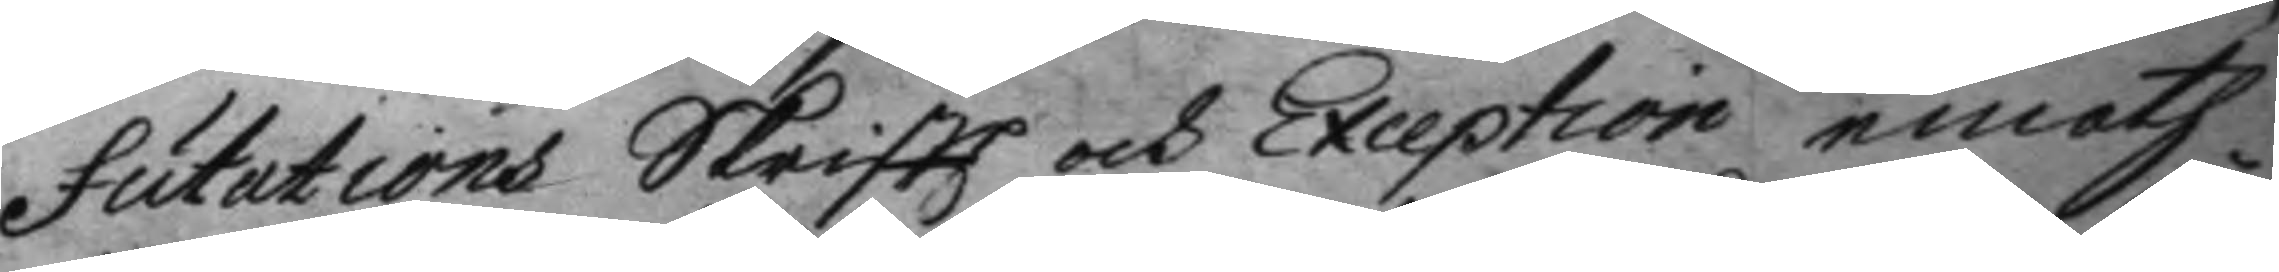futations Skriftt och Excepion emoth
